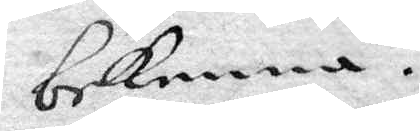bekenna.
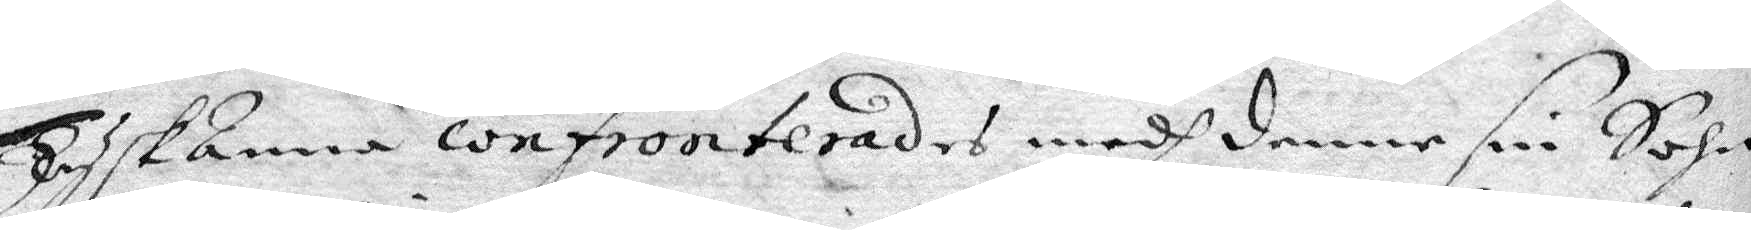TyskAnna confronterades medh denne sin Sohn
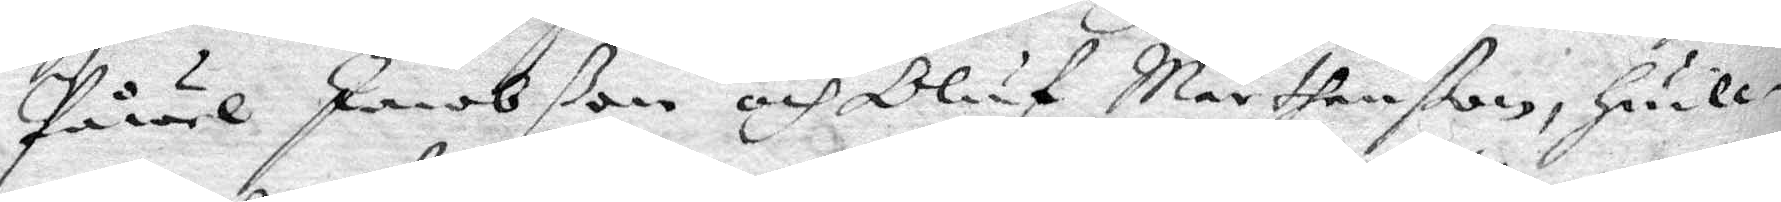Påwel Jacobßon och Oluf Mårthenßon, hwill¬
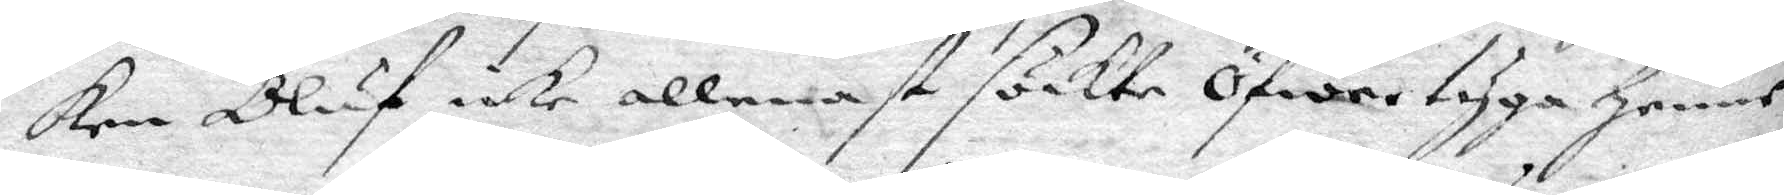ken Oluf icke allenast söckte öfwertyga henne,
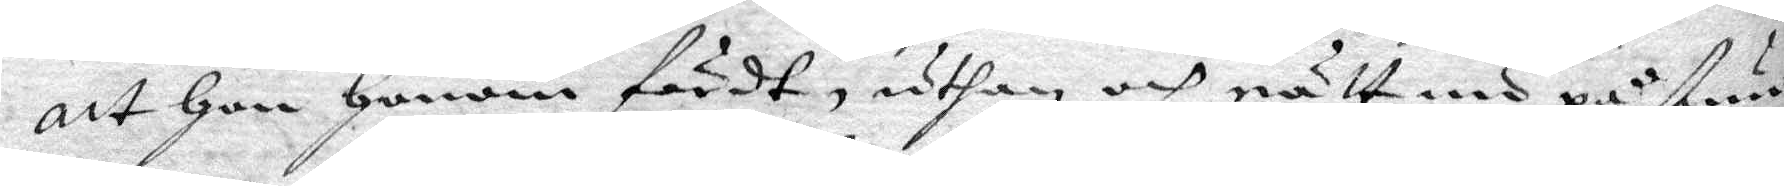att hon honom fördt, uthan och rätt nu på stun¬
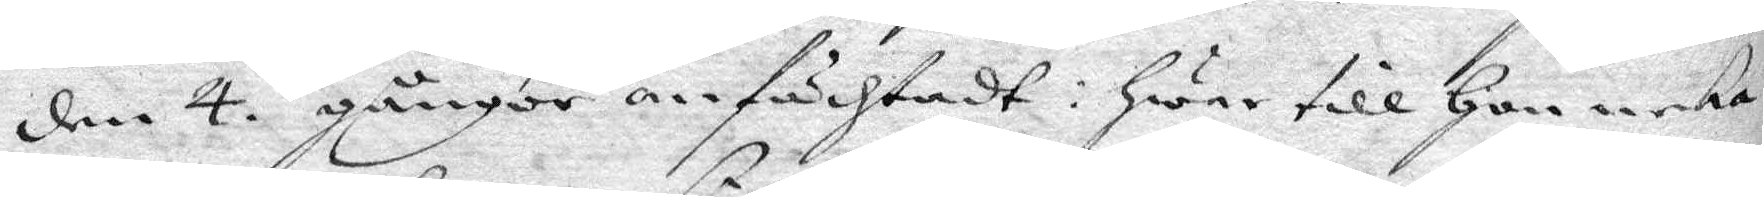den 4. gånger anfächtadt: hwar till hon neka¬
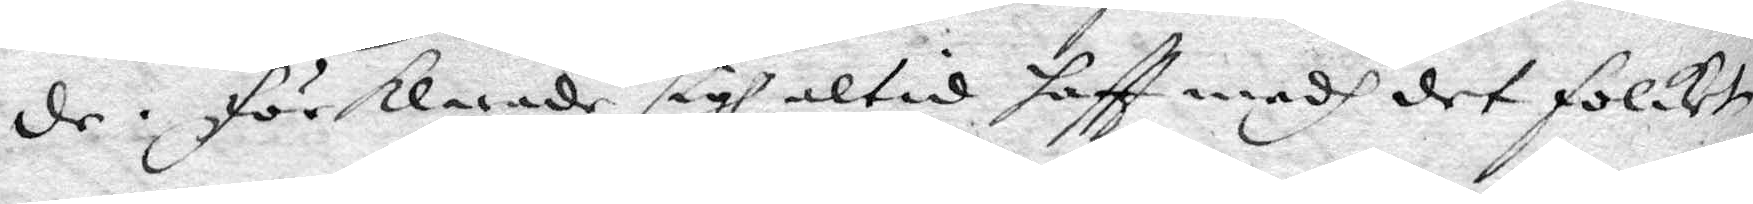de, förklarande sigh altid haftt medh det folcket
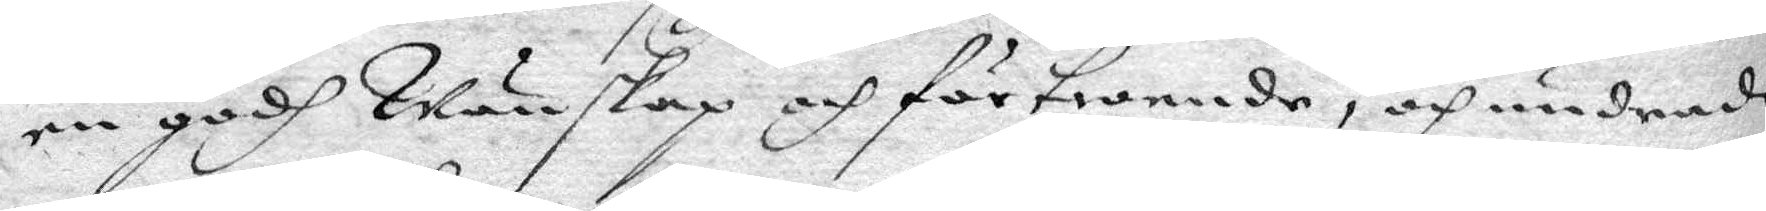en godh Wänskap och förtroende, och undrade
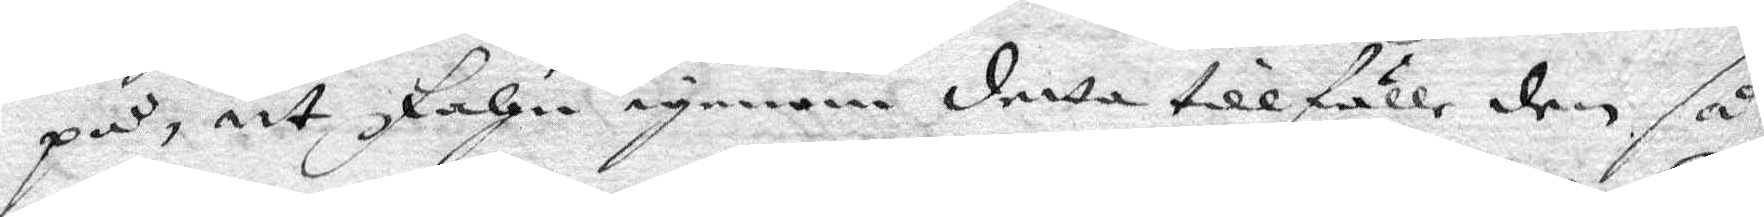på, att Fahn igenom detta tillfälle den så
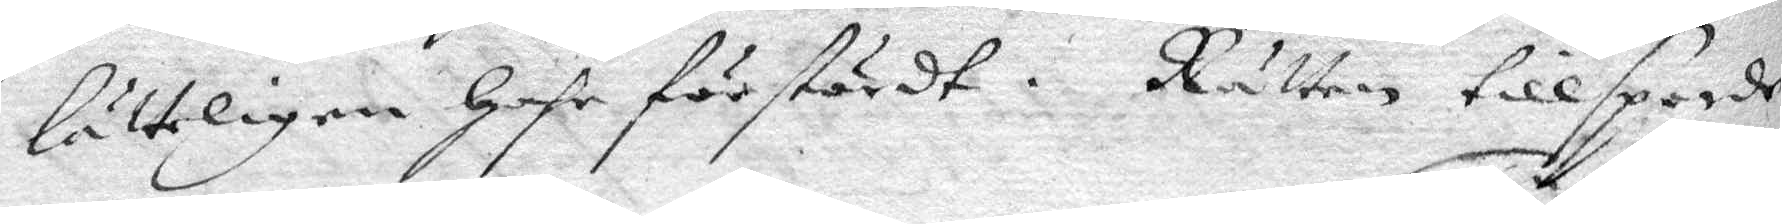lätteligen hafe förstördt. Rätten tillsporde
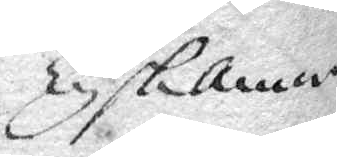TyskAnna
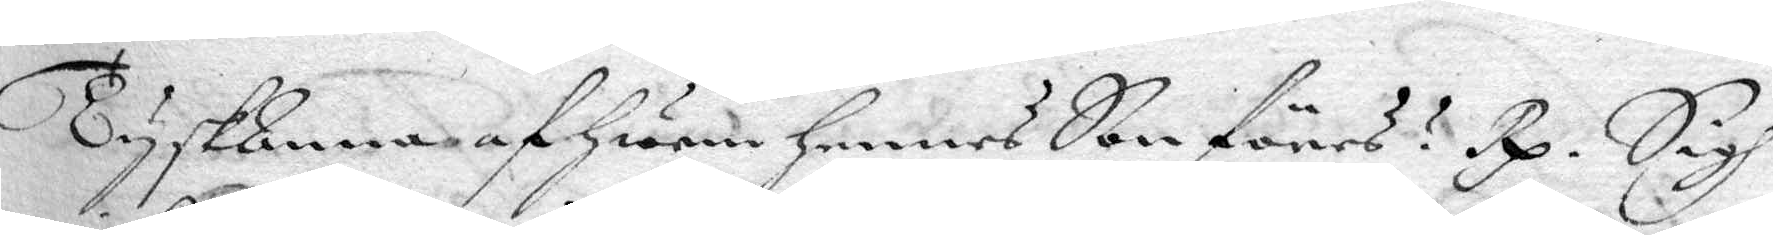TyskAnna af hwem hennes Son föres? Rp. Sigh
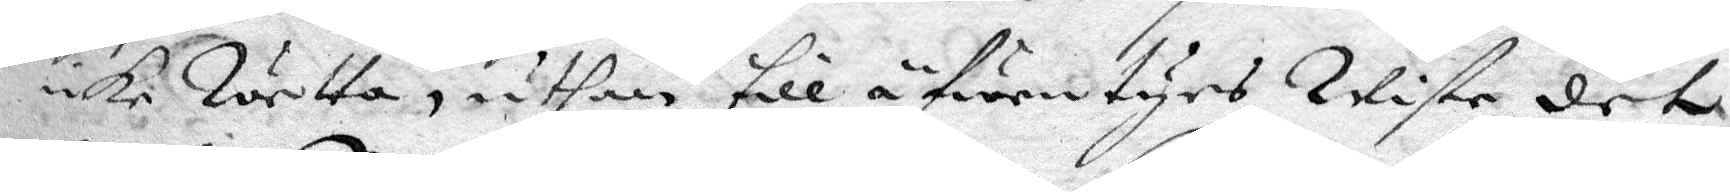icke Wetta, uthan till äfwentyrs Wiste det
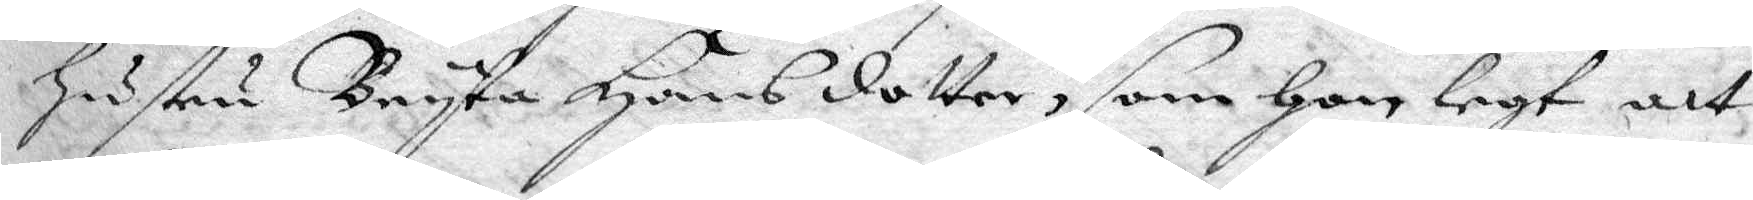hustru Bryta Hansdotter, som hon legt att
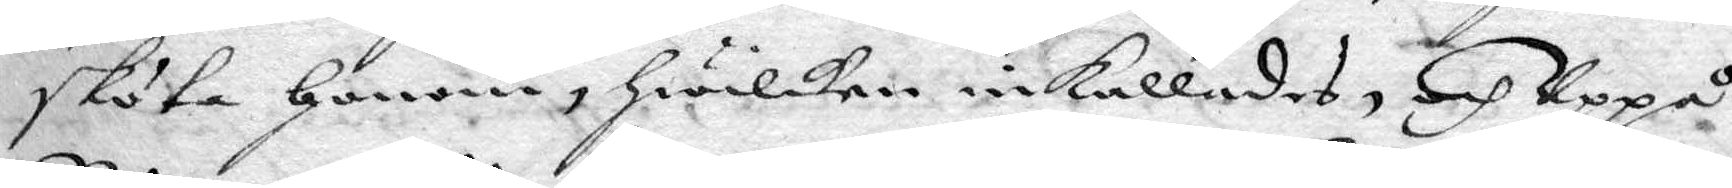sköta honom, hwilken inkallades, och Uppå
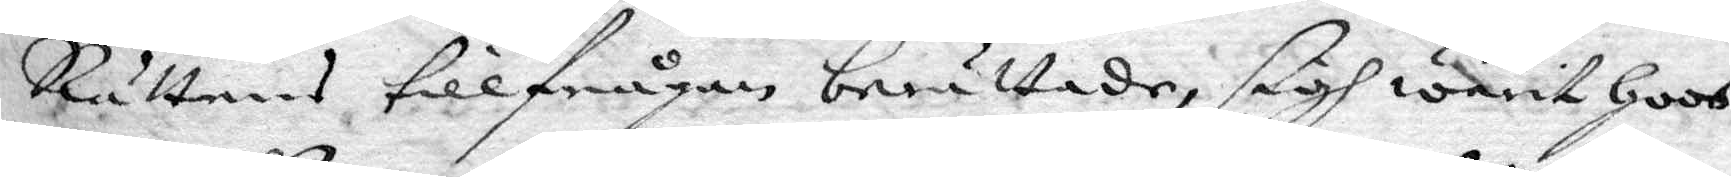Rättens tillfrågan berättade, sigh warit hoos
